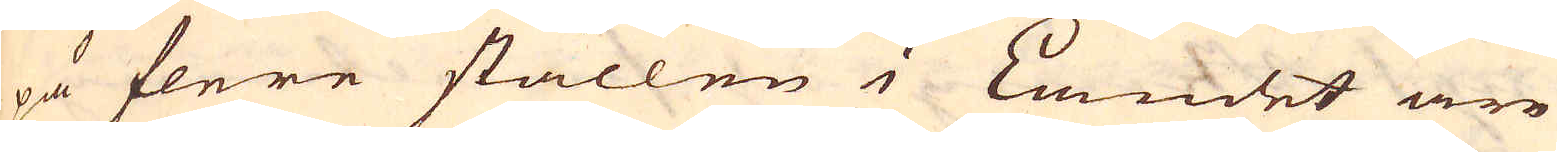på flere ställen i Landet äre
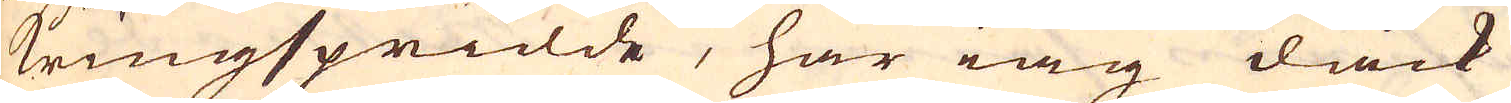kringspridde, har iag dåck
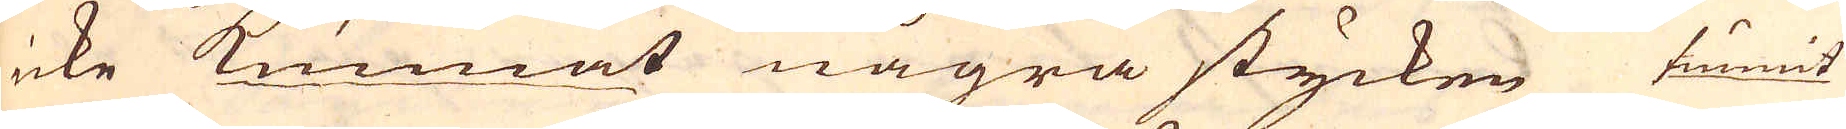icke kunnat några stycken funnit
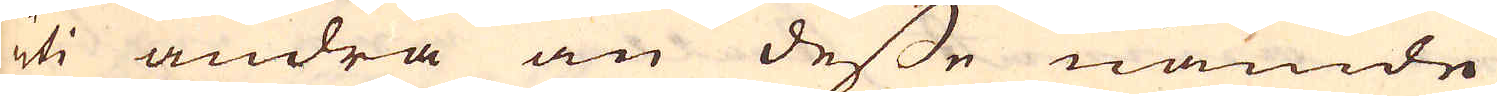uti andra än desse nämde
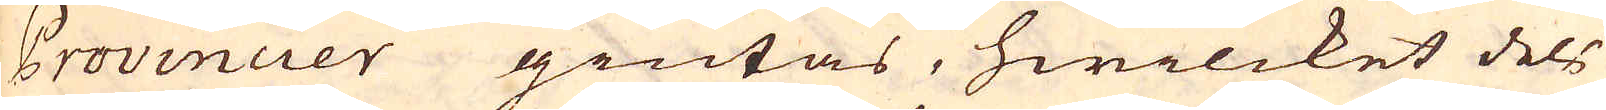Provincuer giutas, hwilcket dels
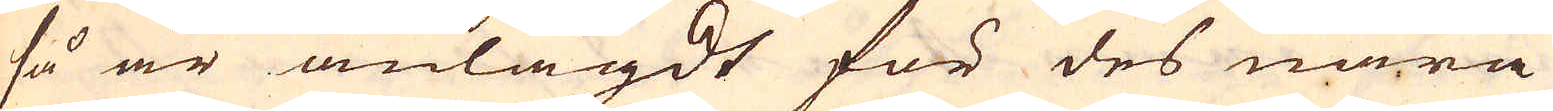så är anlagdt för des nära
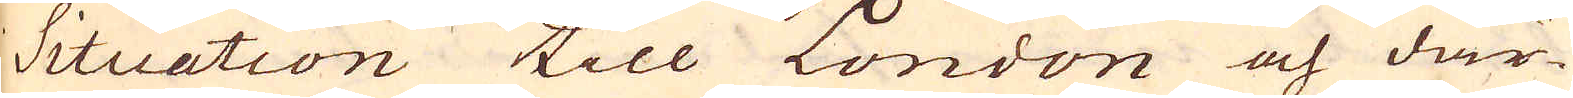Situation till London och där-
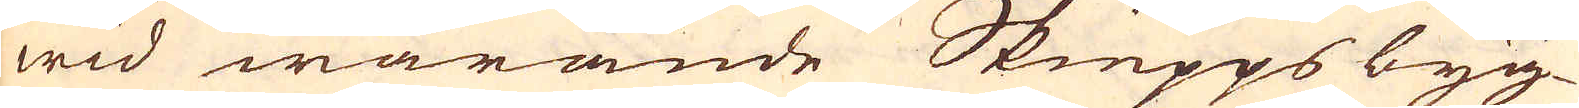wid warande Skiepps byg-
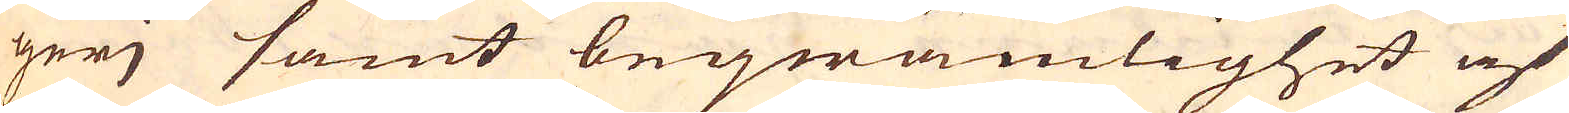gerj samt beqwämlighet af
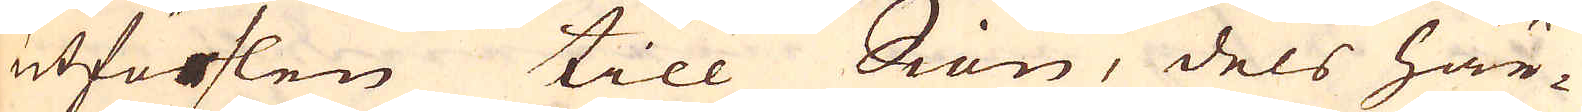utförslen till Siön, dels här-
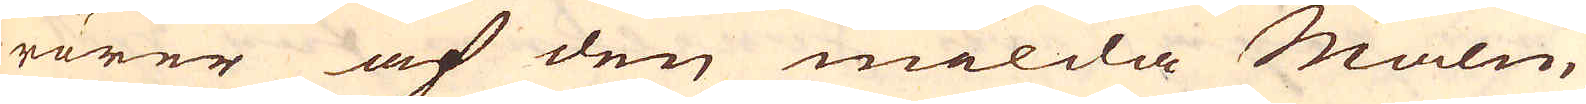rörer af den milda Malm,
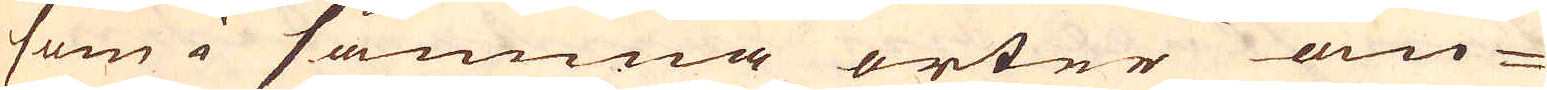som i samma orter an-
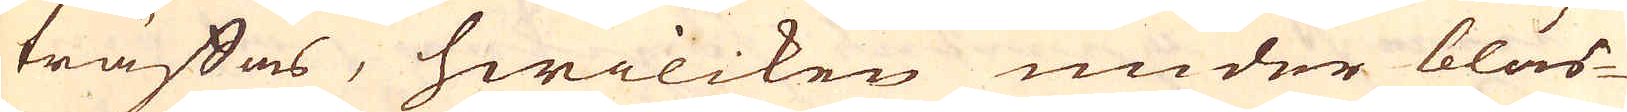träffas, hwilcken under bläs-
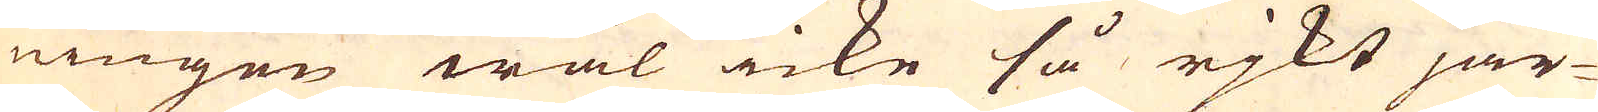ningen wäl icke så rikt jär-
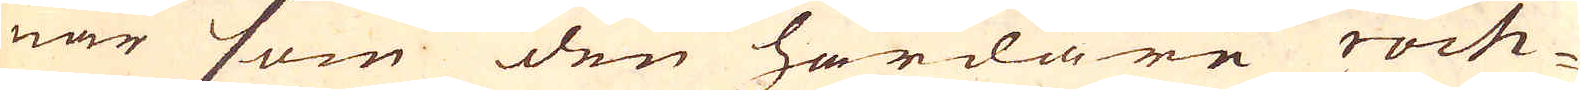nar som den hårdare roch-
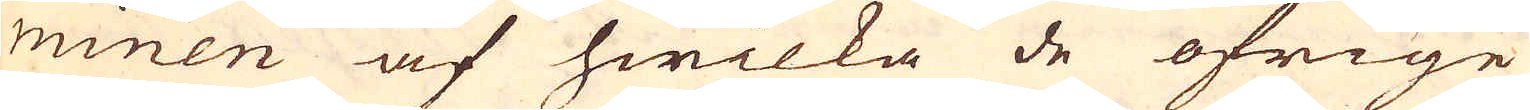minen af hwilka de öfrige
